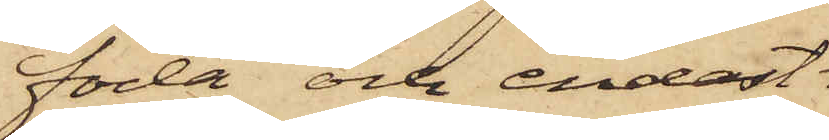föda och endast
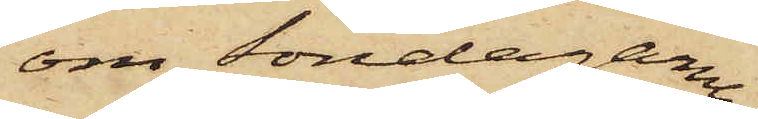om Söndagarne
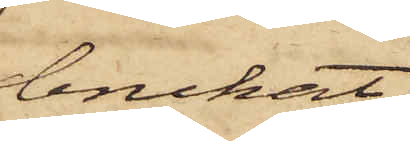brukat
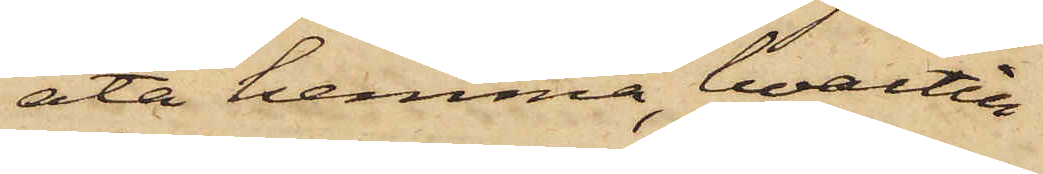äta hemma, hvartill
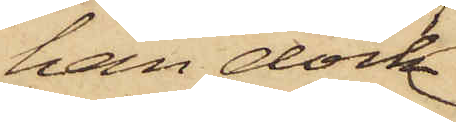han dock
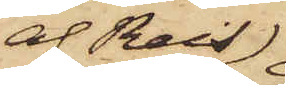af Reis
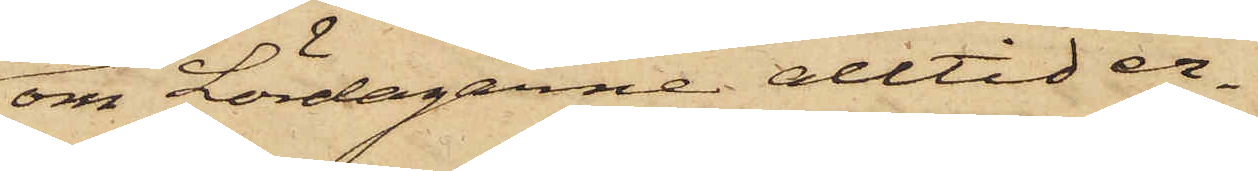om Lördagarne alltid er¬
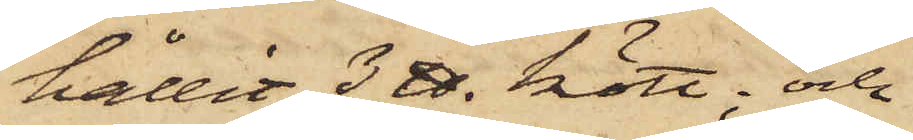hållit 3 ℔ kött; och
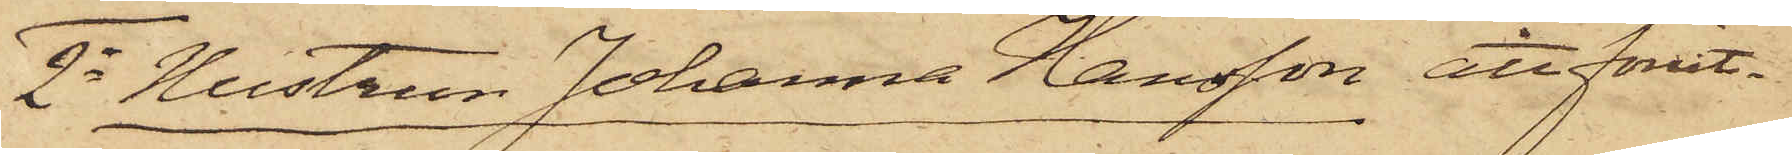2o Hustrun Johanna Hansson att förut¬
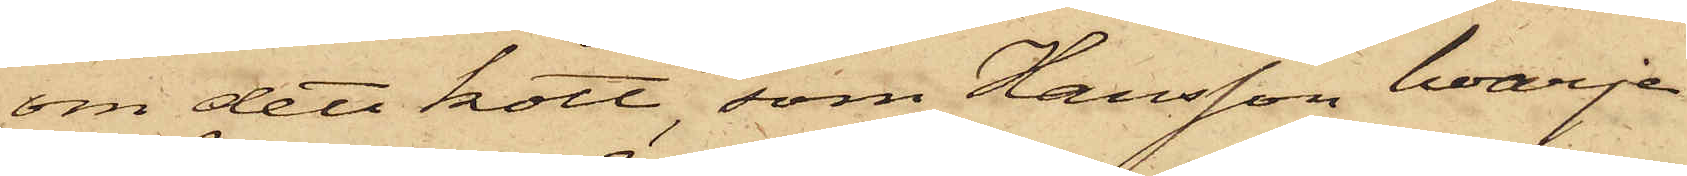om det kött, som Hansson hvarje
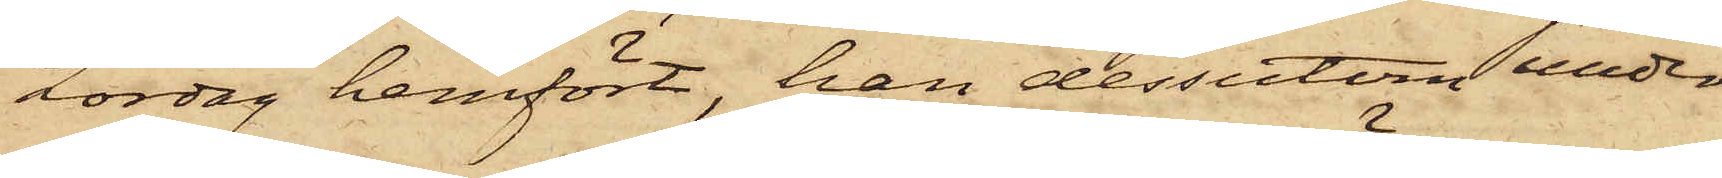Lördag hemfört, han dessutom under
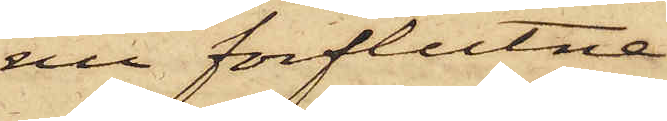nu förflutna
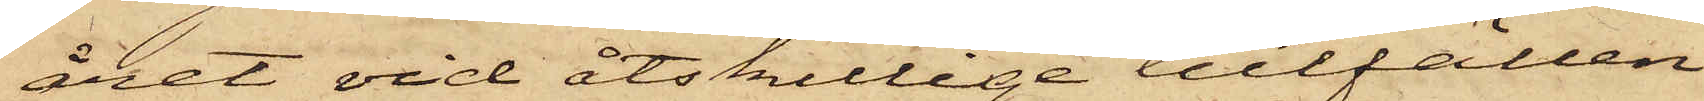året vid åtskillige tillfällen
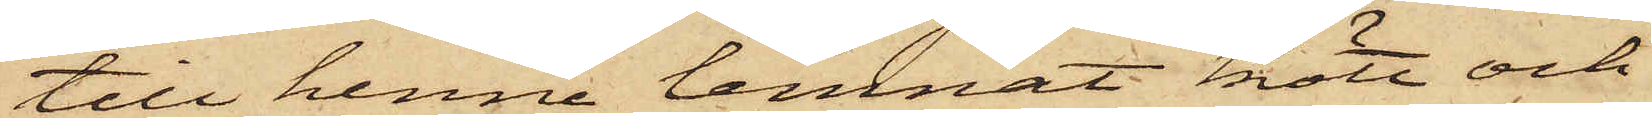till henne lemnat kött och
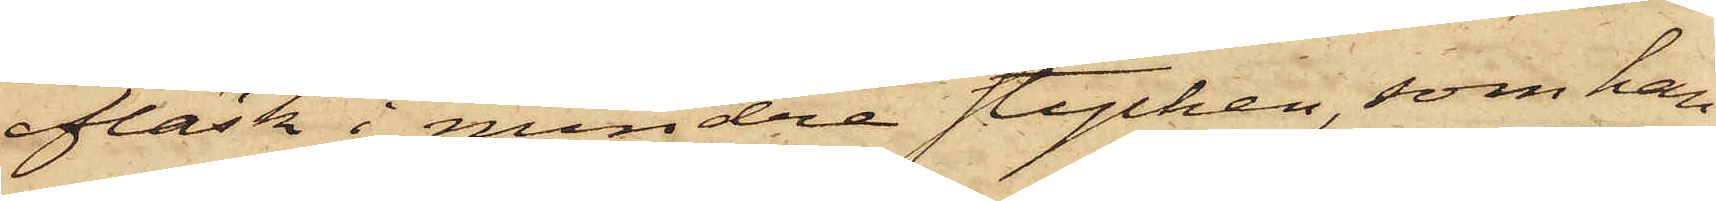fläsk i mindre stycken, som han
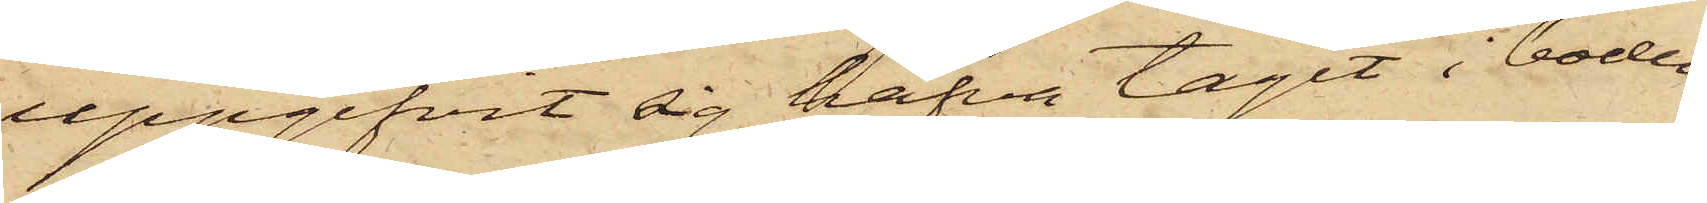uppgifvit sig hafva tagit i boden
